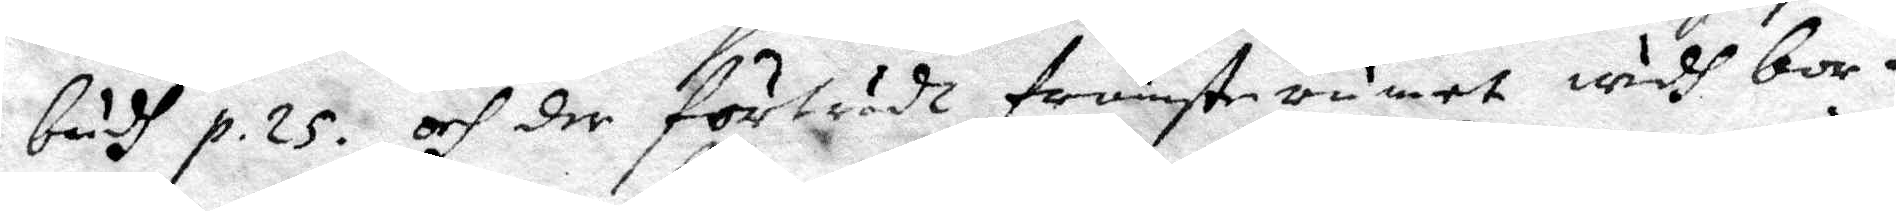budh p. 25. och der förträdt förnämste rumet widh bor¬
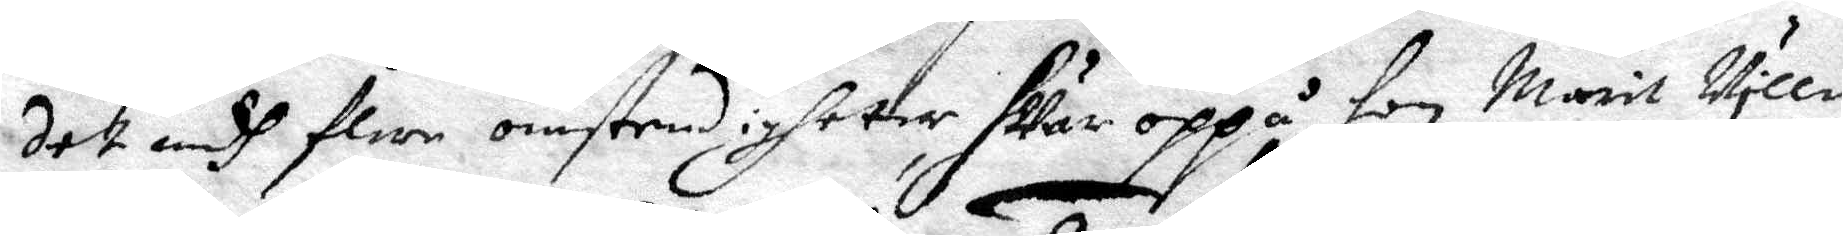det medh flere omstendigheter hvar oppå hon Marit Ville
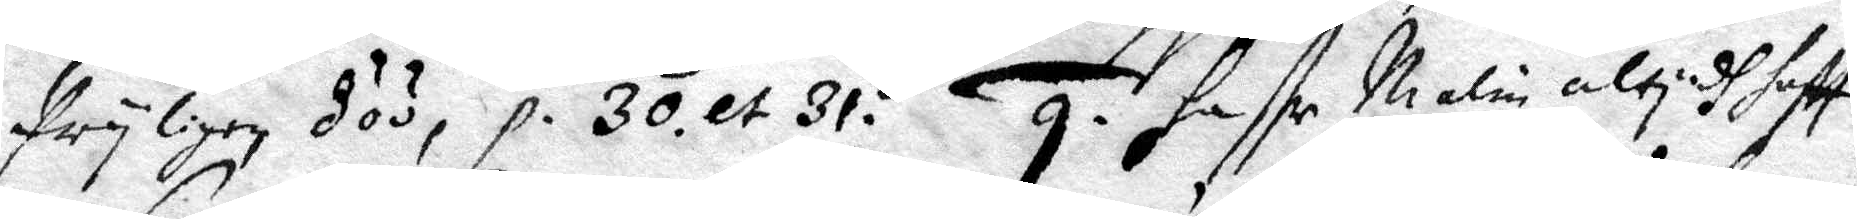fryligen döö, p. 30 et 31. 9. haffr Malin altydh hafft
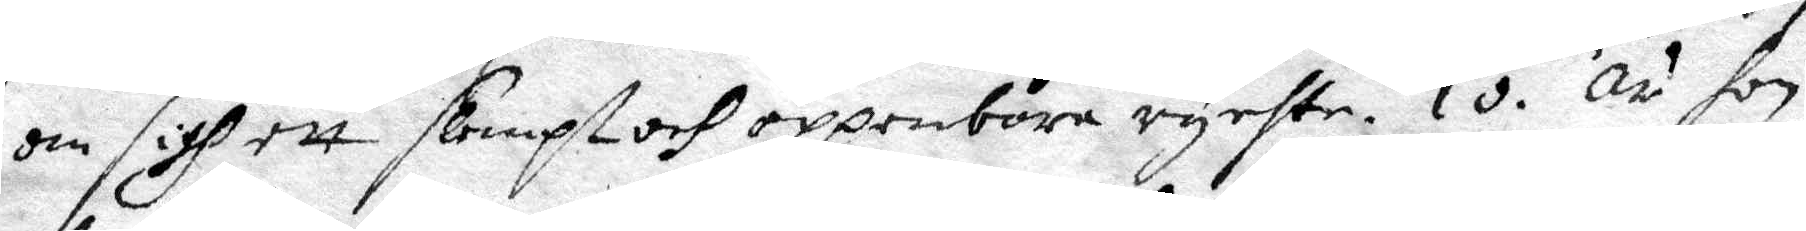om sigh ett slempt och oppenbora rychte. 10. är hon
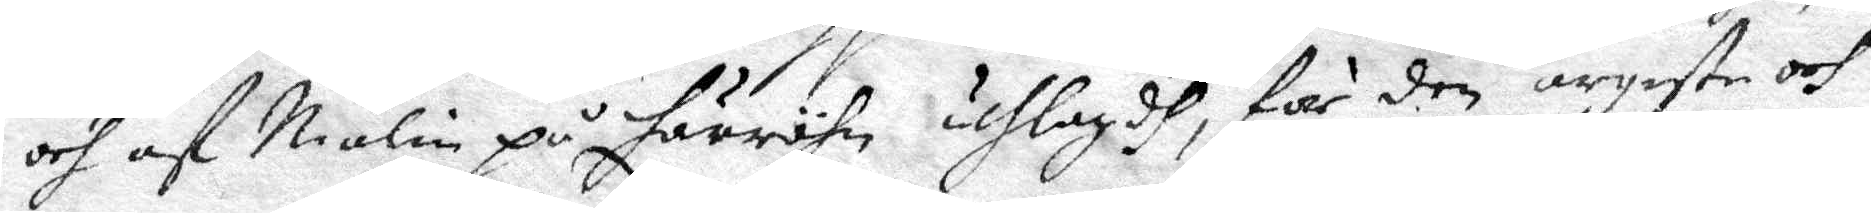och af Malin på härröhn uthlagdh, för den argeste och
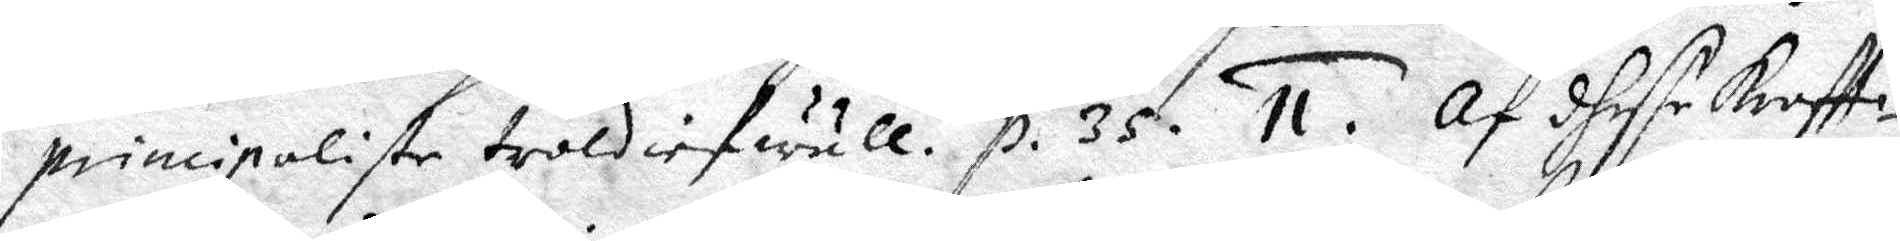principaliste troldiefwull. p. 35. 11. Af dhesse kraftti¬
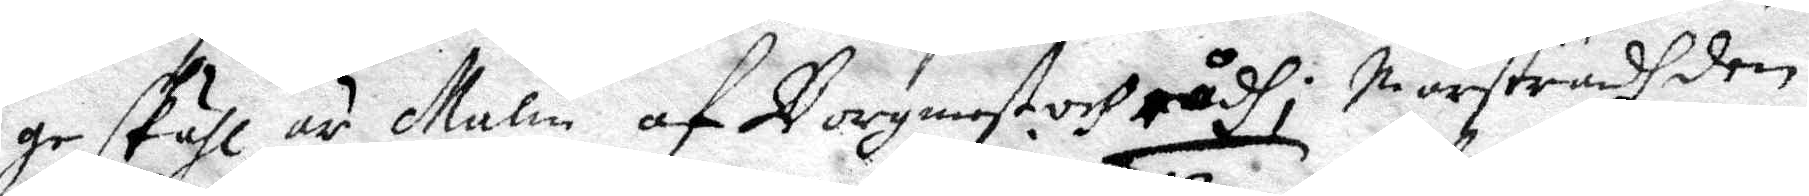ge skähl är Malin af Borgmest och rådh i Marstandh den
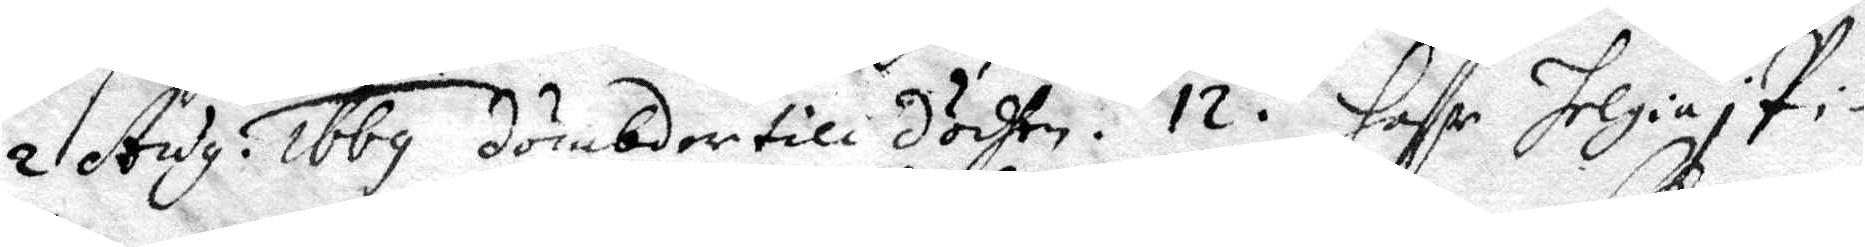2 Aug. 1669 dömbder till dödhen. 12. Haffr Helgia i Pi¬
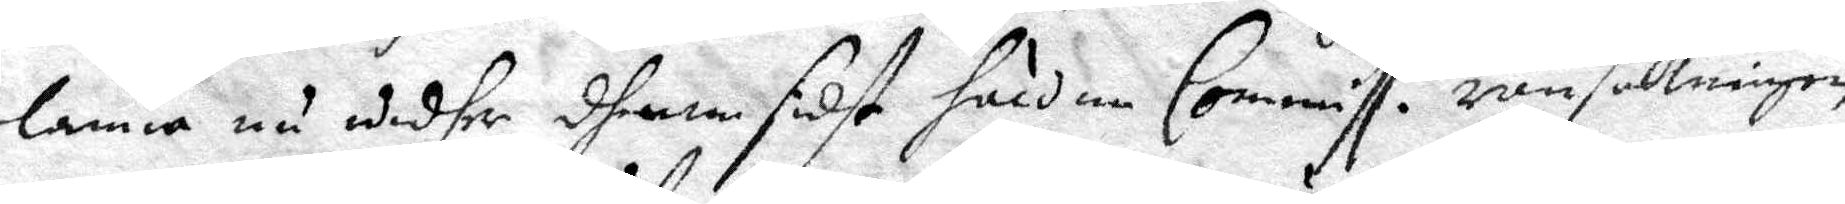lanna nu widher dhenne sidst håldne Commiss. ransakningen
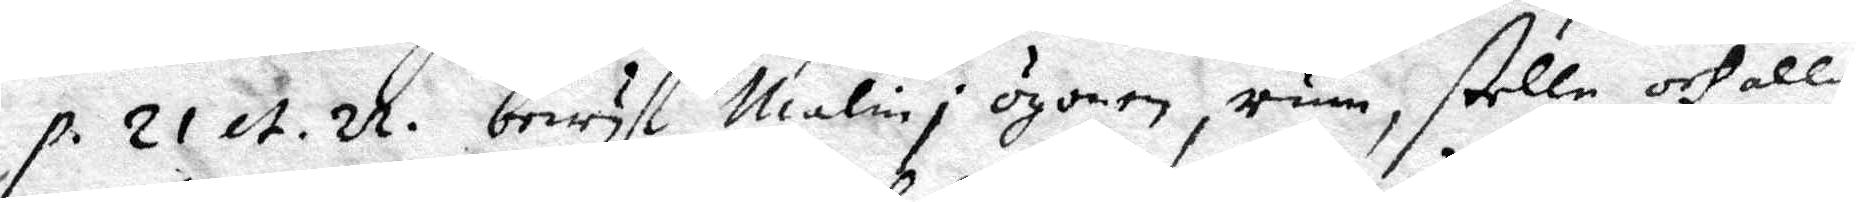p. 21 et 22. bewyst Malin i ögonen, rum, stelle och alla
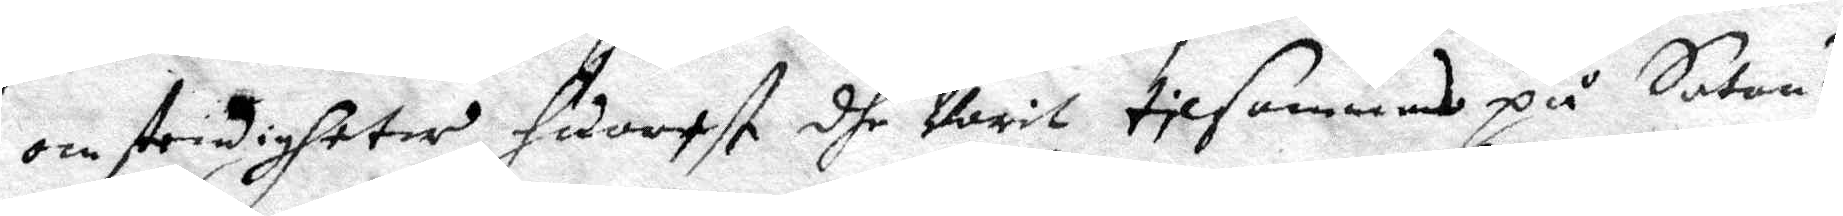omstendigheter, hwarest dhe Varit tilsammans på Satans
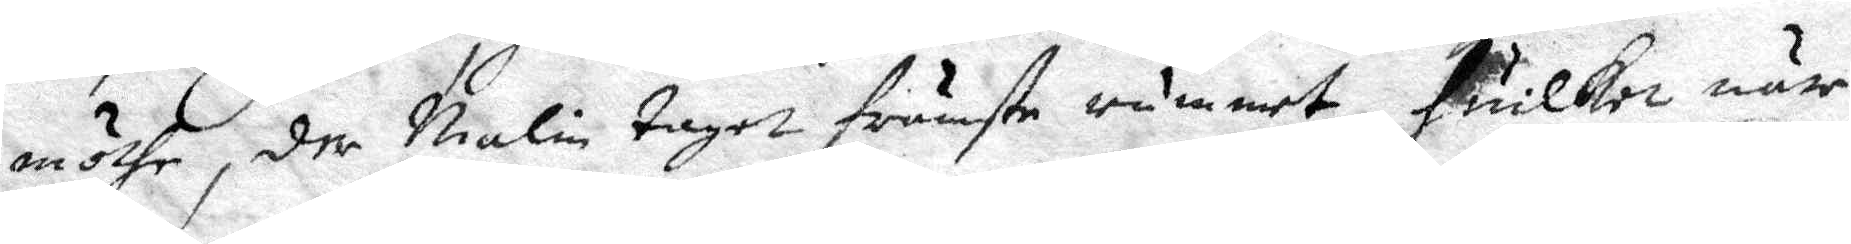möthe, der Malin taget främste rummet, huilket när
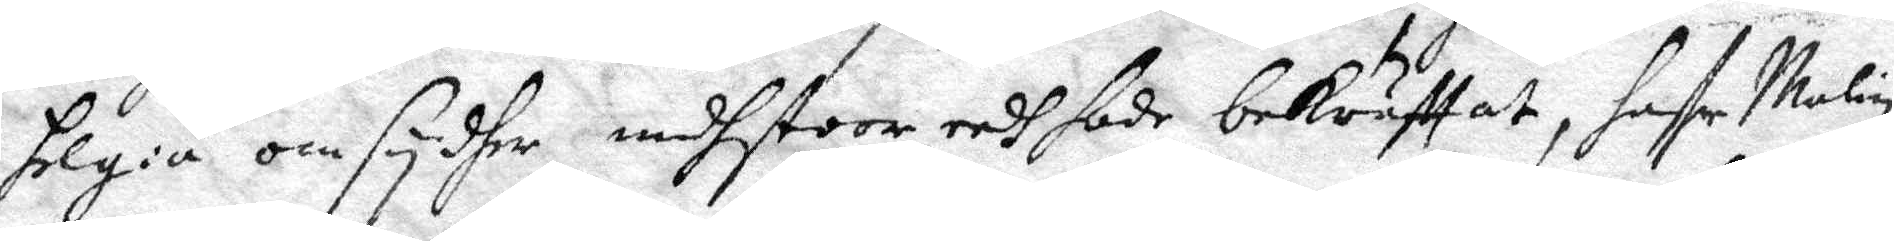Helgia omsydher medhstoor eedh hade berättat, haffr Malin
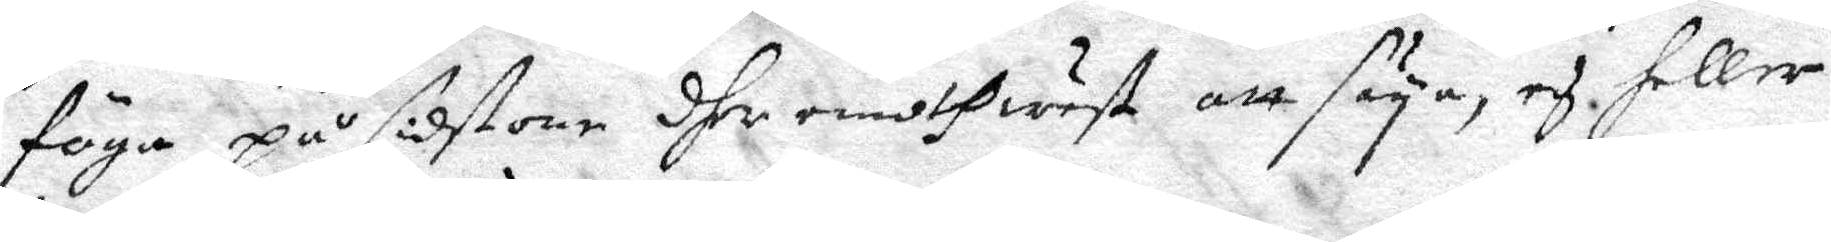föga på sidstone dher emoth wet att säya, ey heller 
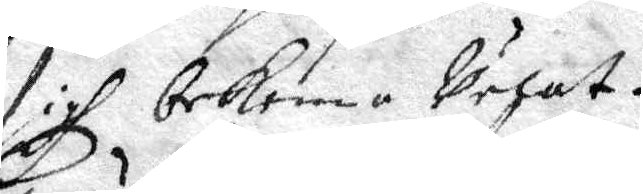sigh bekenna velat.
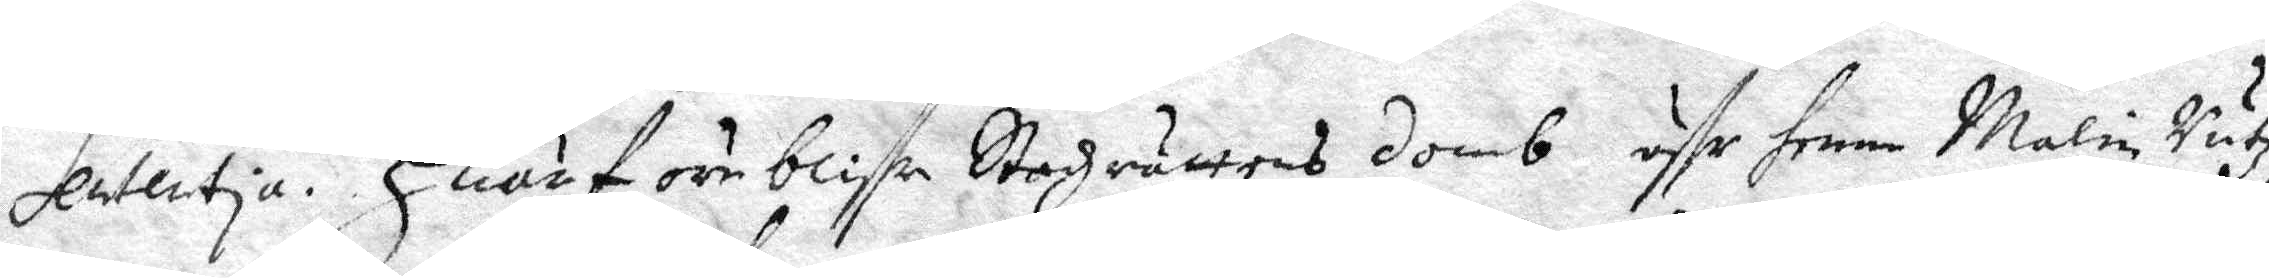Sententia. Huarföre blife Stadzrättens domb öffr henne Malin rutz
